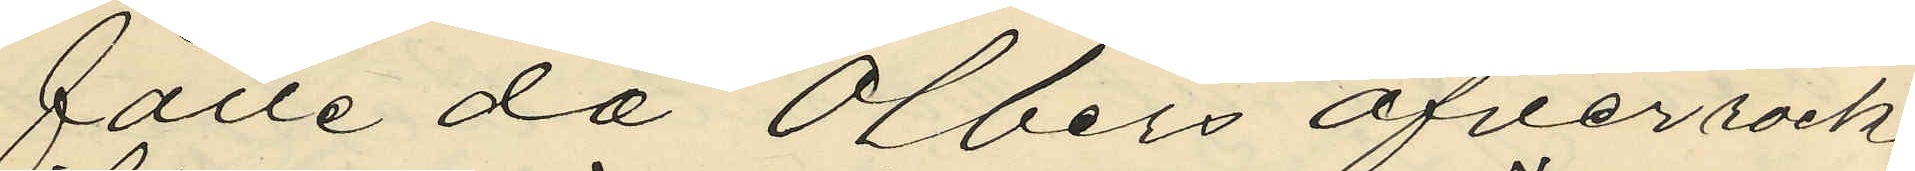fälle då Olbers öfverrock
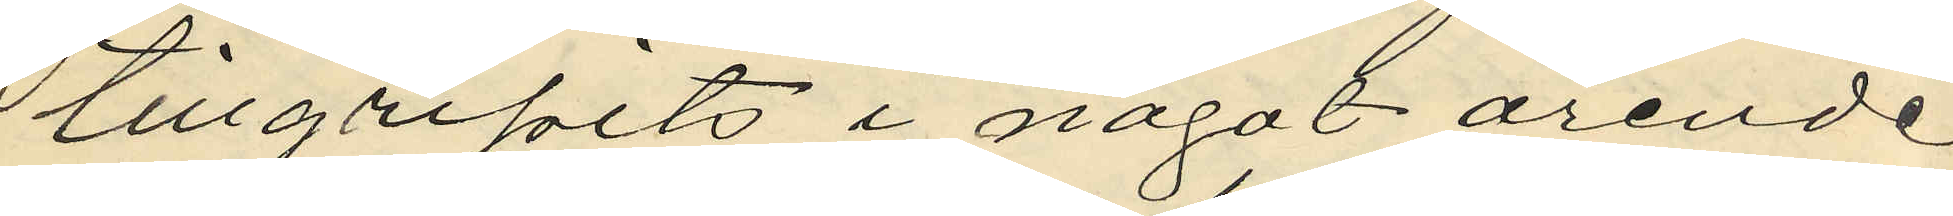tillgripits i något ärende
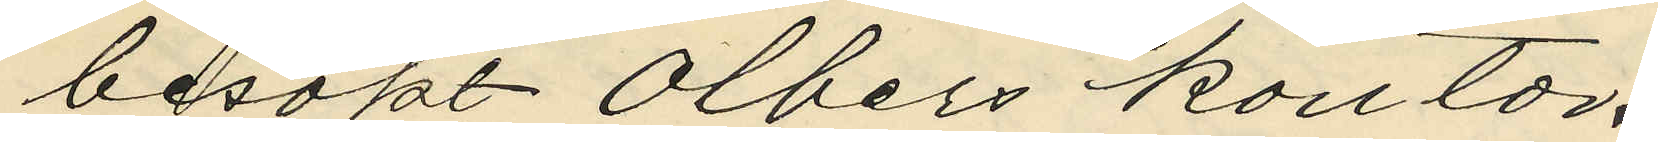besökt Olbers kontor.
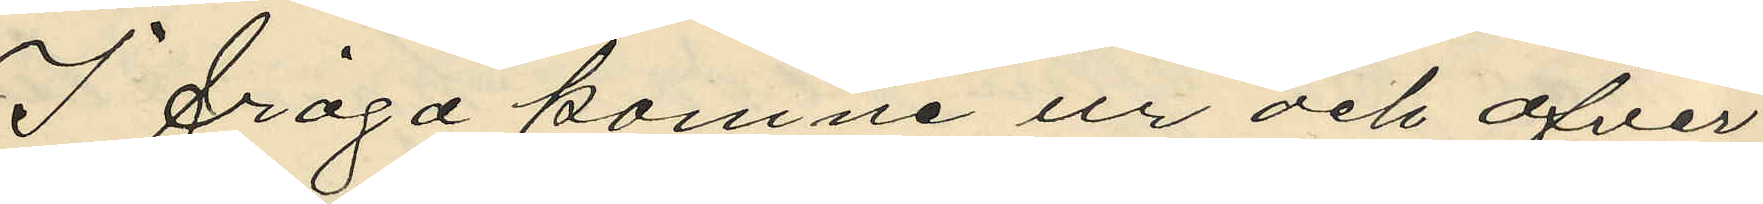I fråga komne ur och öfver
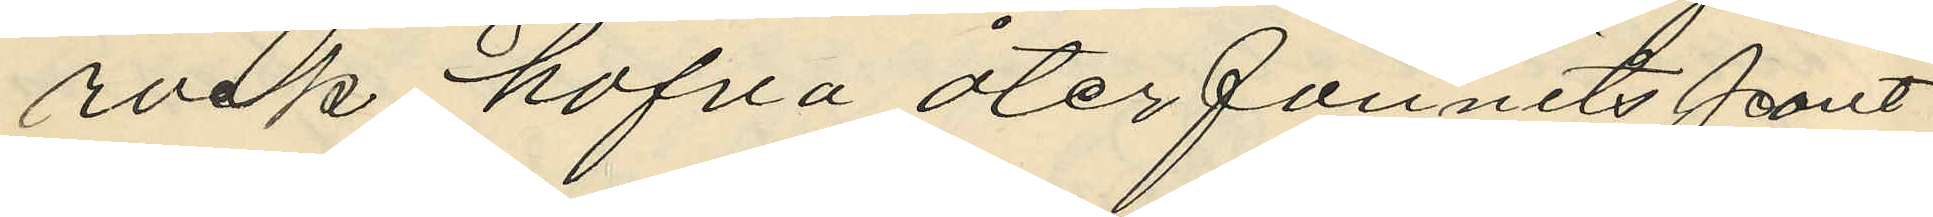rock hafva återfunnits pant
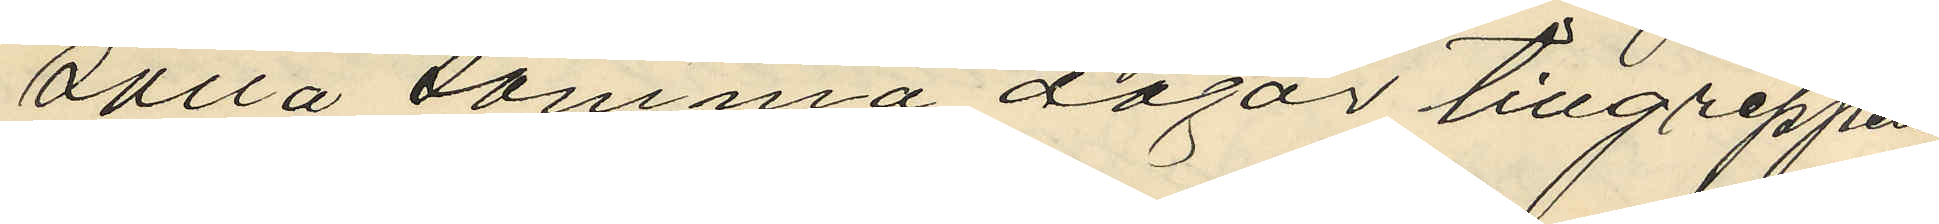satta samma dagar tillgreppen
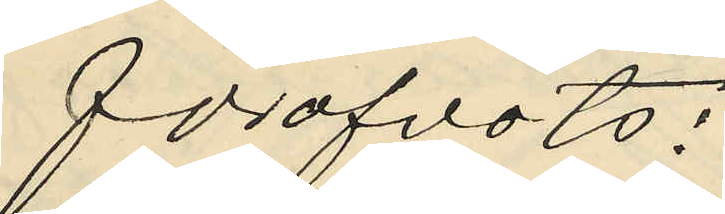föröfvats:
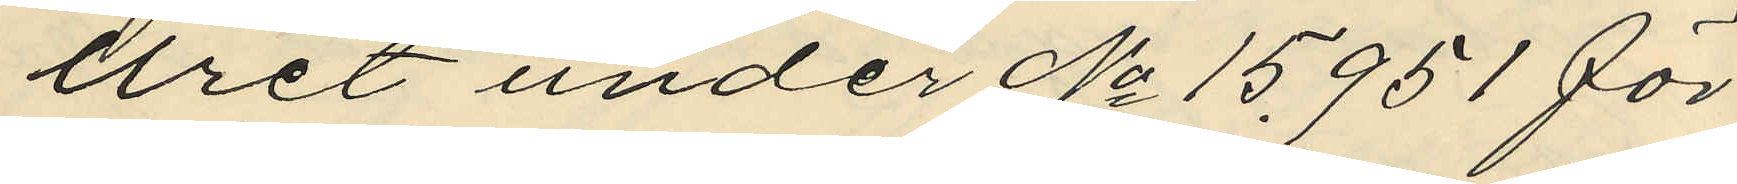uret under No 15951 för
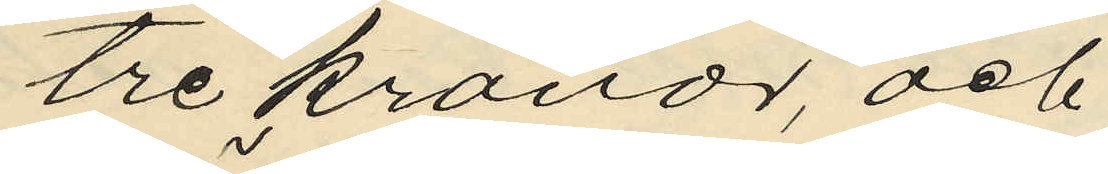tre kronor, och
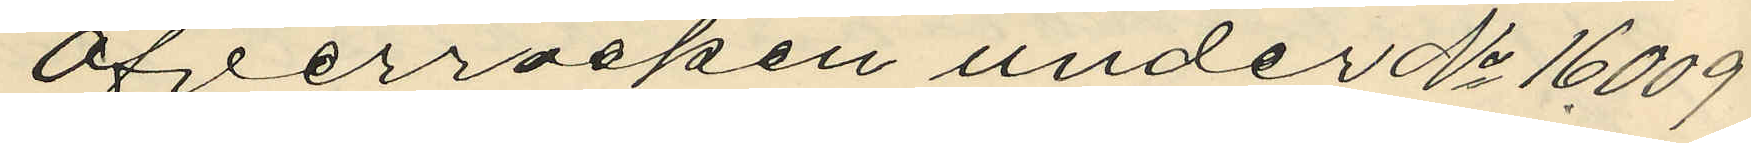Öfverrocken under No 16009
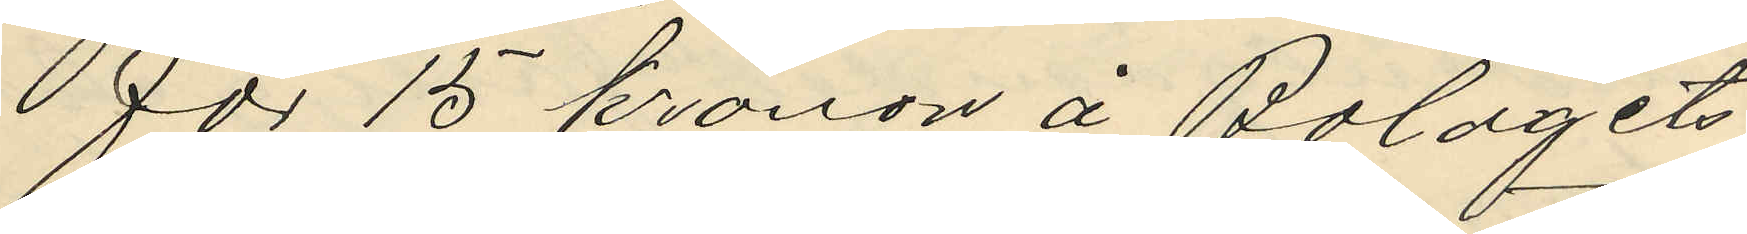för 15 kronor å Bolagets
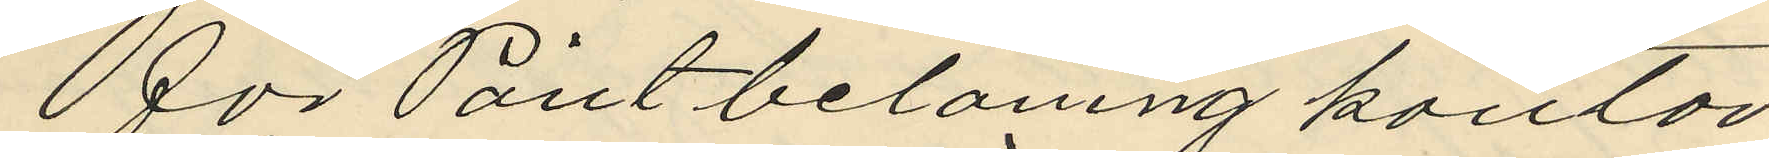för Pantbelaning kontor
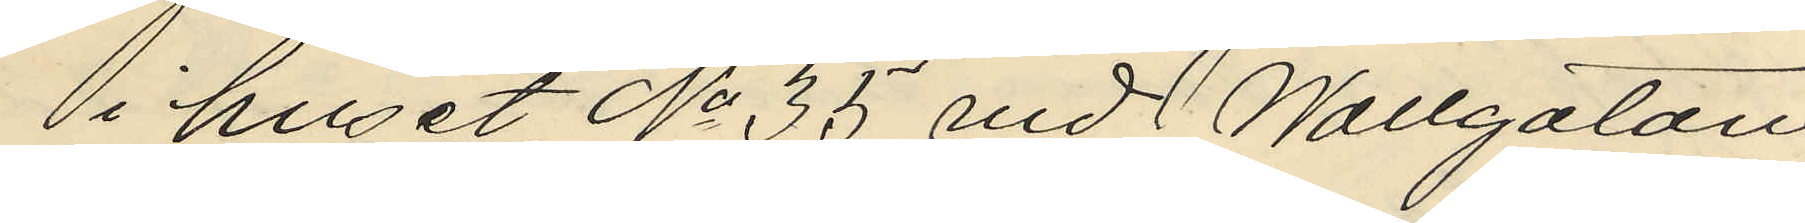i huset No 35 vid Wallgatan
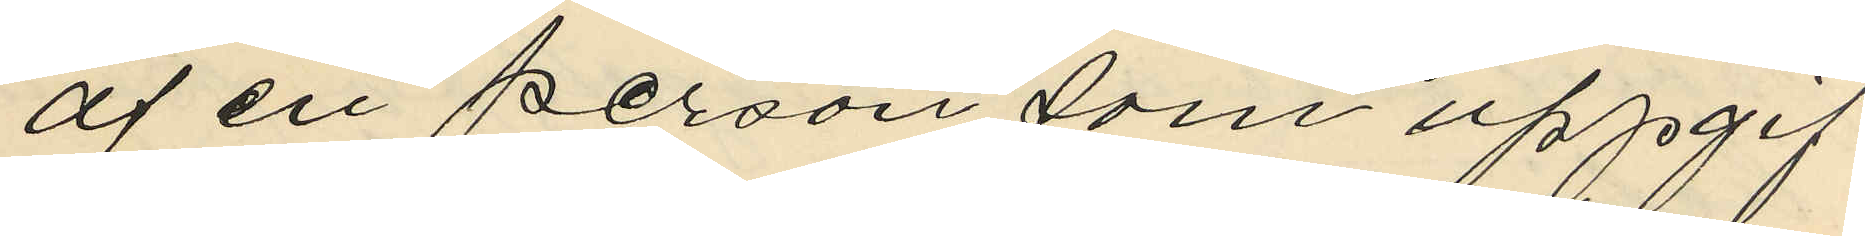af en person, som uppgif
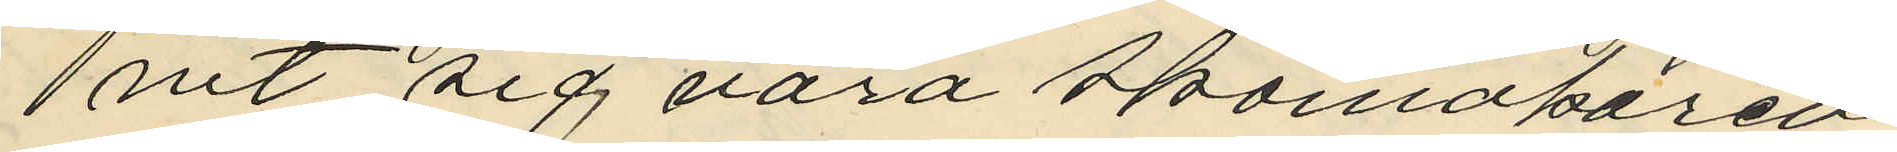nit sig vara Skomakaren
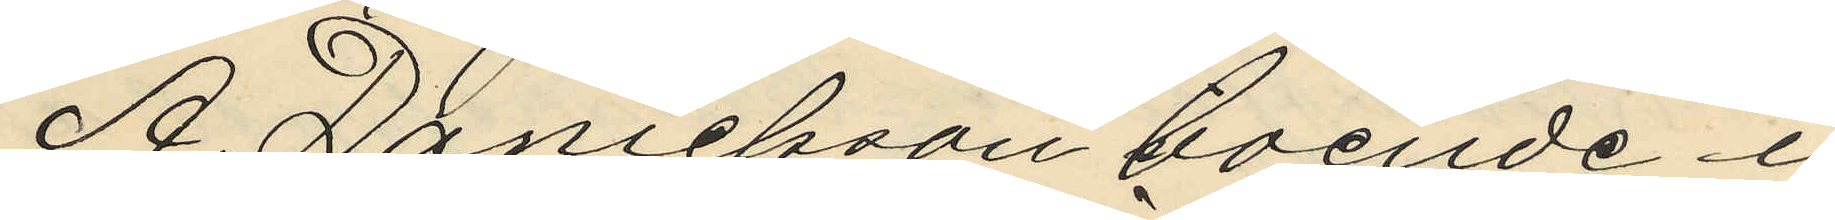A. Danielsson boende i
